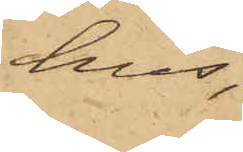hus,
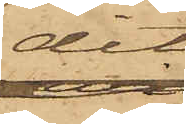dit
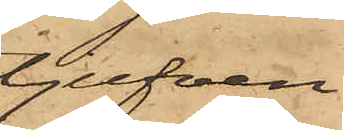tjufven
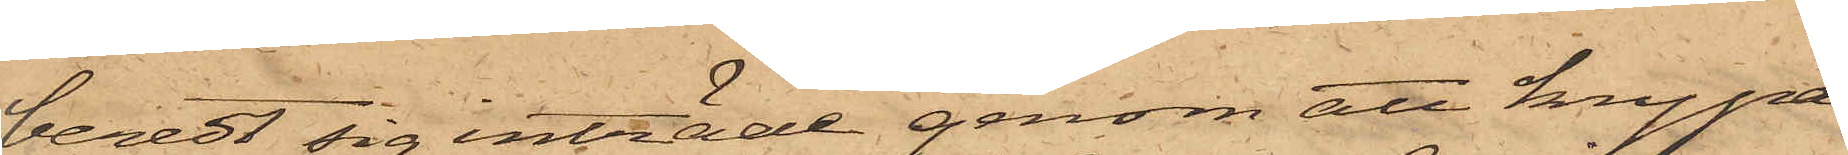beredt sig inträde genom att krypa
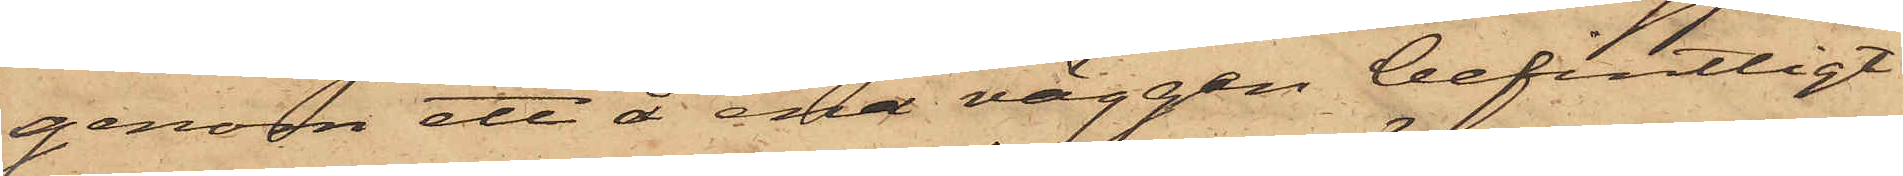genom ett å ena väggen befintligt
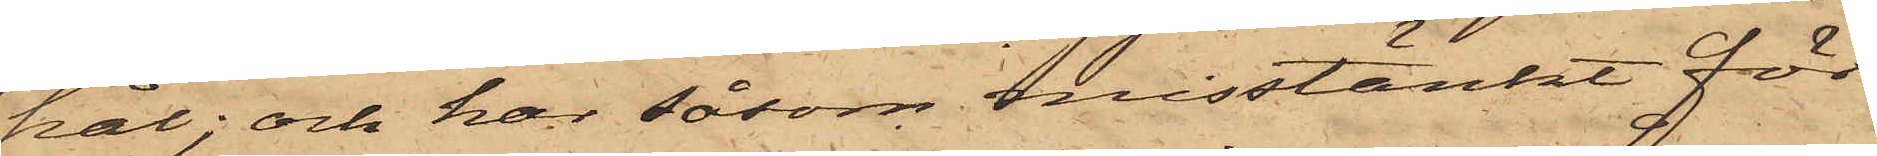hål; och har såsom misstänkt för
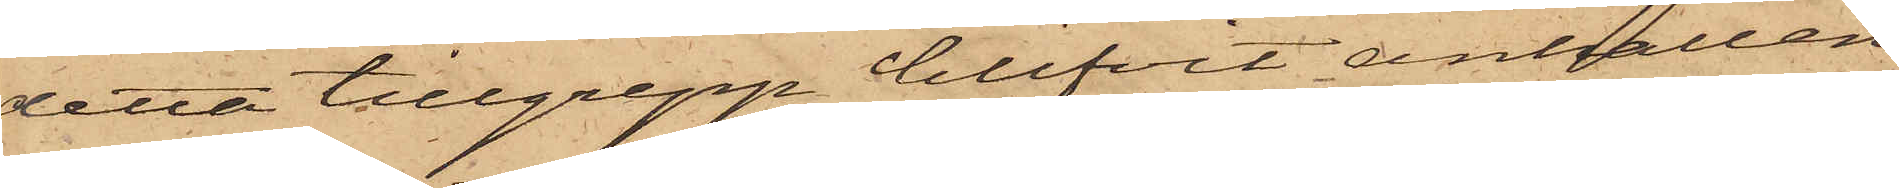detta tillgrepp blifvit anhållen
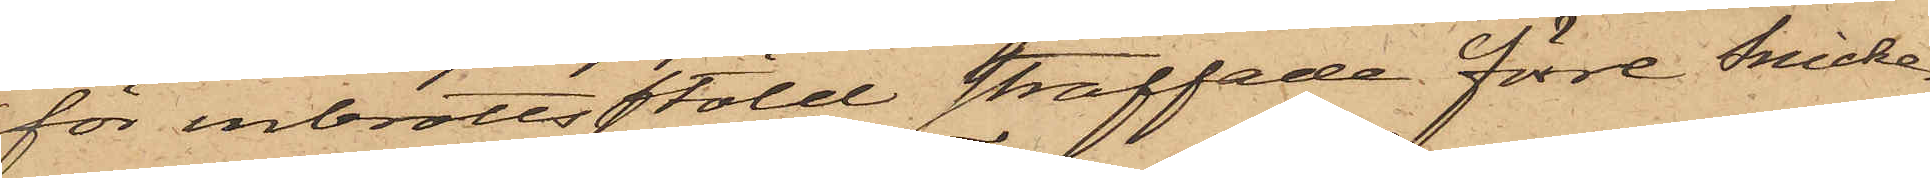för inbrottsstöld straffade förre Snicke¬
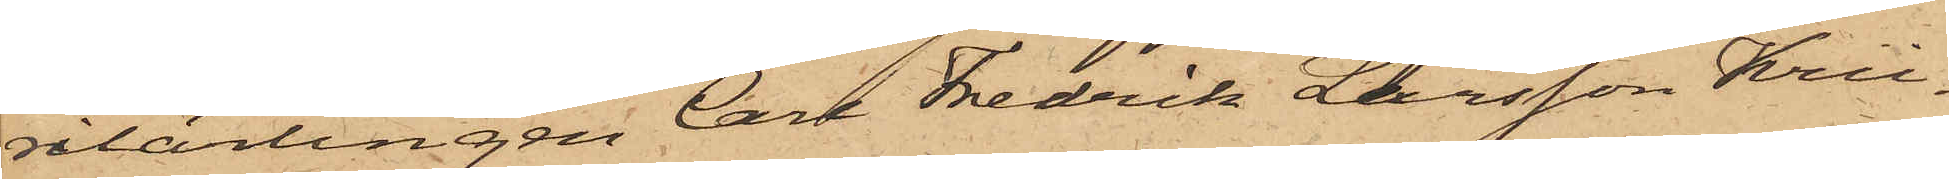rilärlingen Carl Fredrik Larsson Krü¬
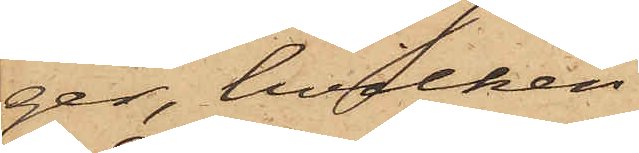ger, hvilken
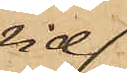vid
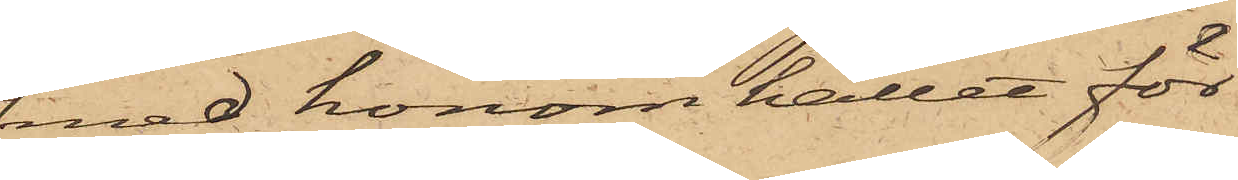med honom hållet för¬
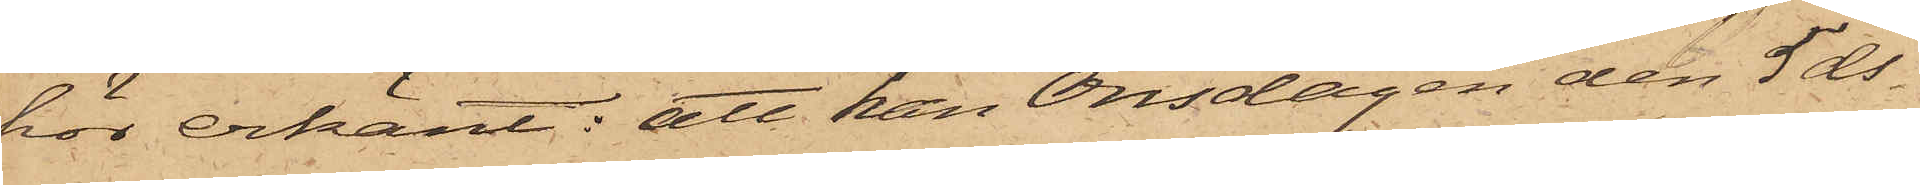hor erkänt: att han Onsdagen den 5 ds
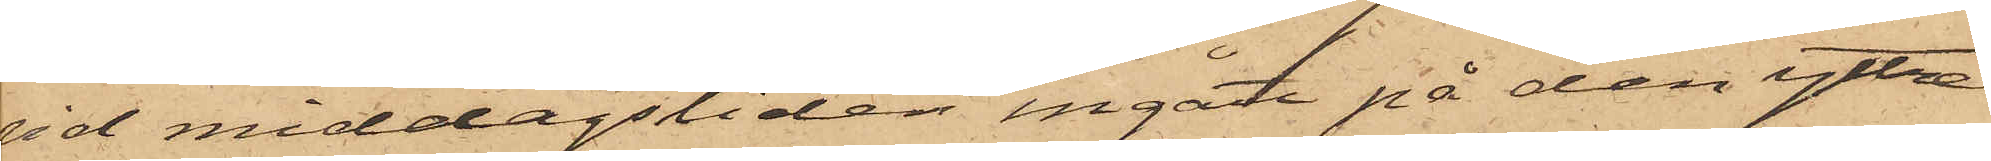vid middagstiden ingått på den yttre
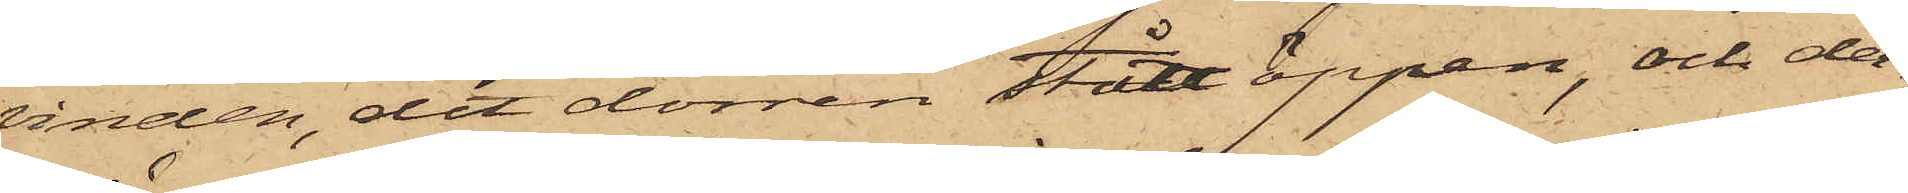vinden, dit dörren stått öppen, och der¬
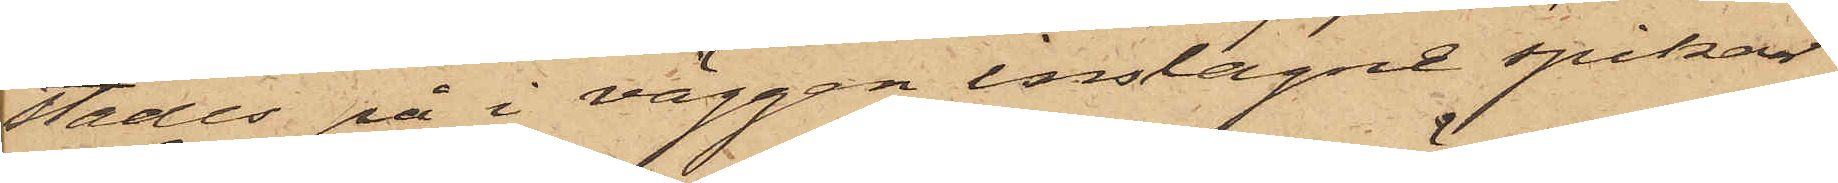städes på i väggen inslagne spikar
